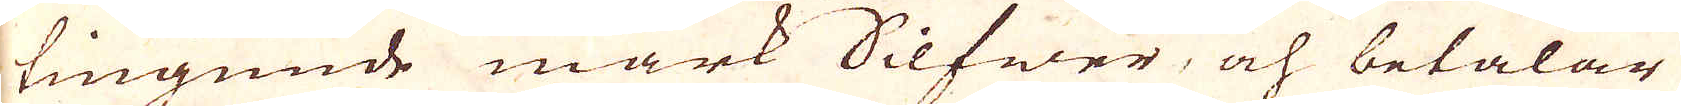tiugunde mark Silfwer, och betalar
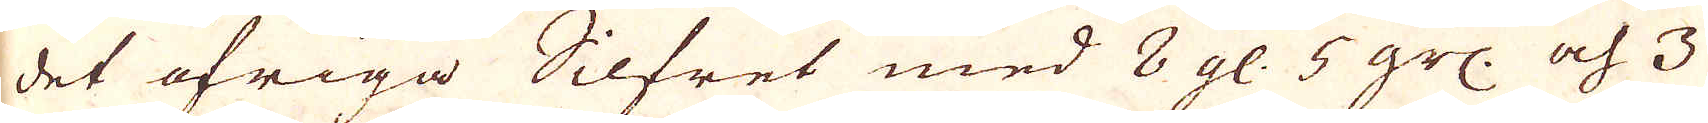det öfriga Silfret med 8 gl. 5 grs. och 3
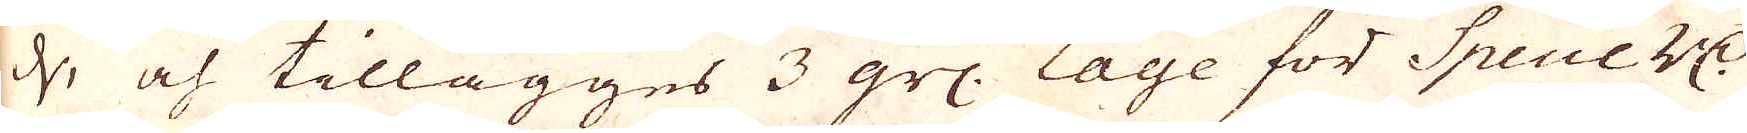d, och tillägges 3 grs: Lage för Specie r:dr
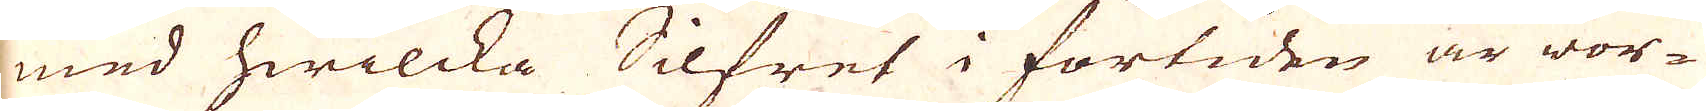med hwilcka Silfret i förtiden är wor-
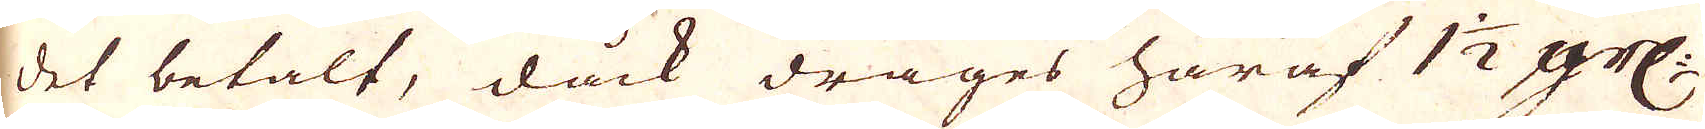det betalt, dåck drages här af 1 1/2 prC:
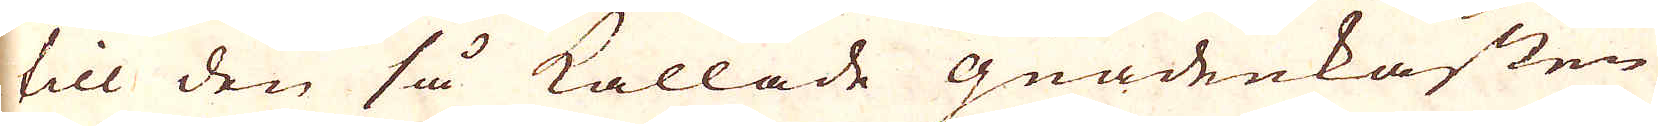till den så kallade Gnadenkasten
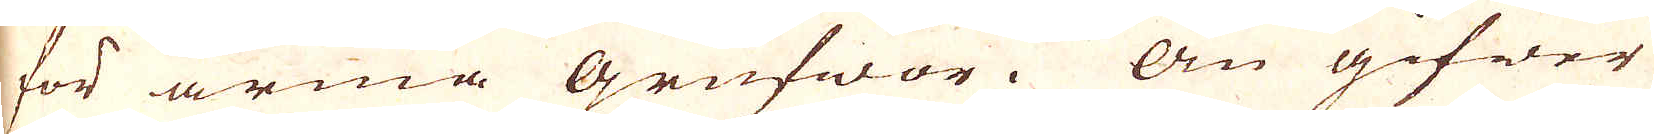för arma grufwor. Än gifwer
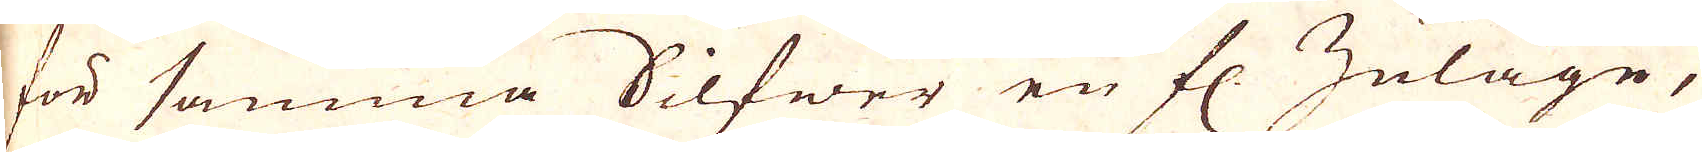för samma Silfwer en fl. Zulage,
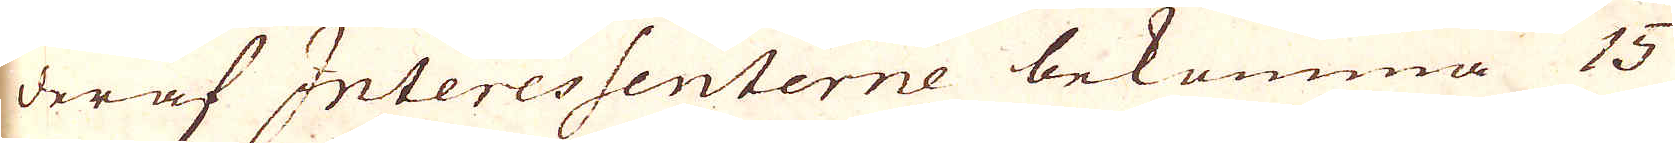deraf Interessenterne bekomma 15
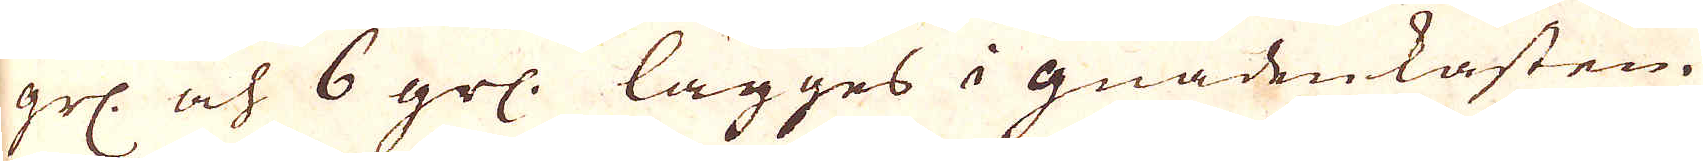grs. och 6 grs. lägges i gnadenkasten.
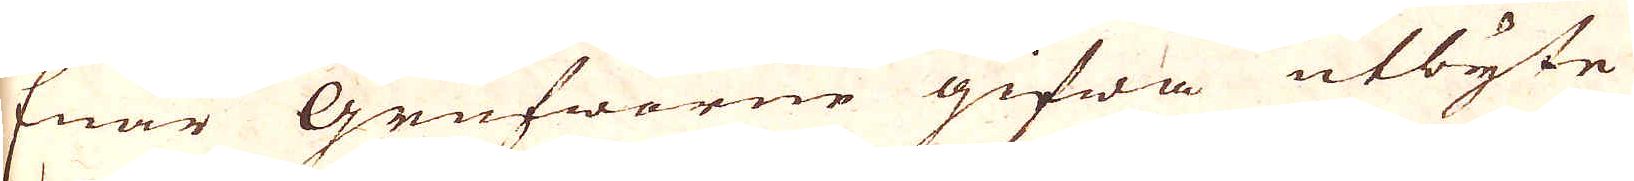Enär Grufworne gifwa utbyte
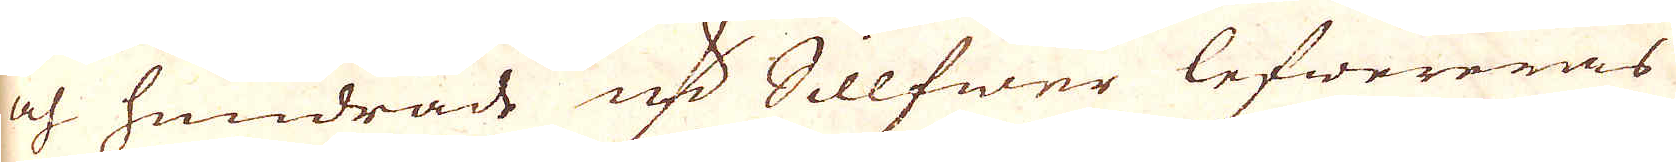och hundrade qv:r Sillfwer lefwereras
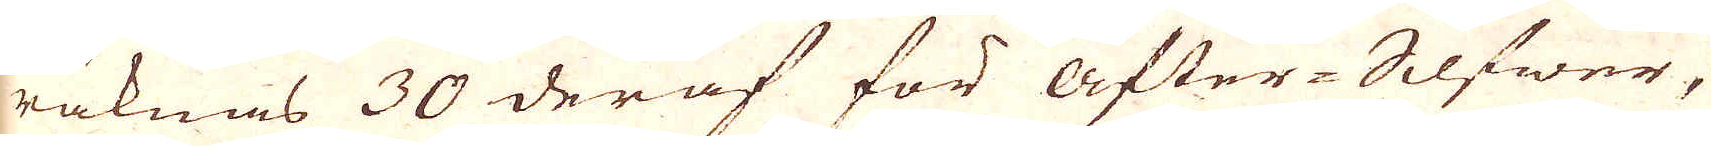räknas 30 deraf för After-Silfwer,
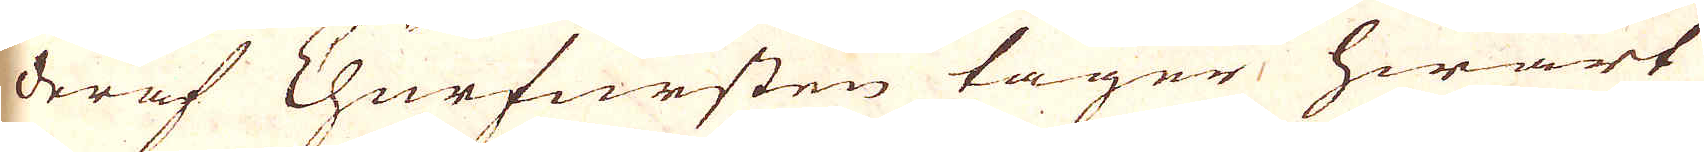deraf Churfursten tager hwart
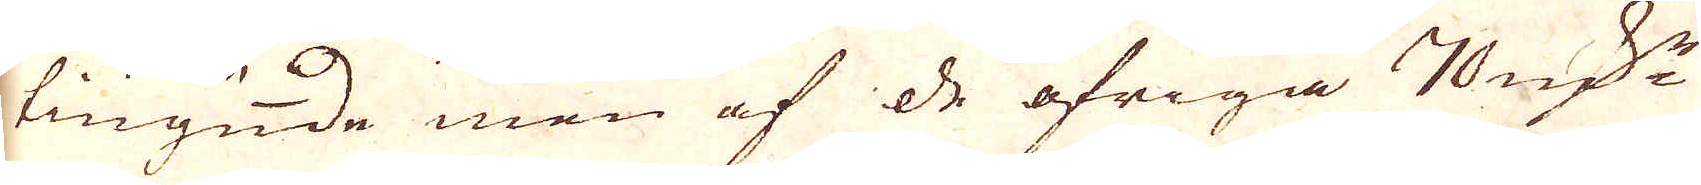tiugunde men af de öfriga 70 qv:r
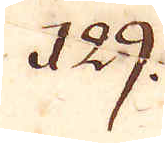129.
